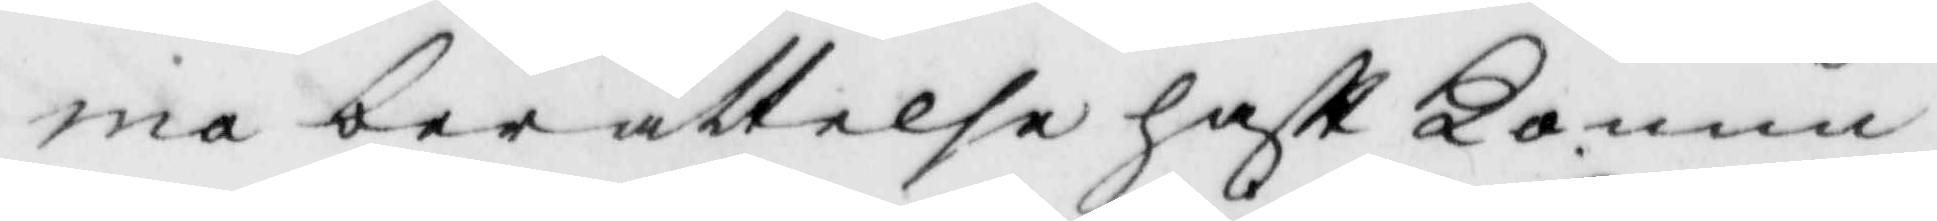ma berättelse haftt Konun¬
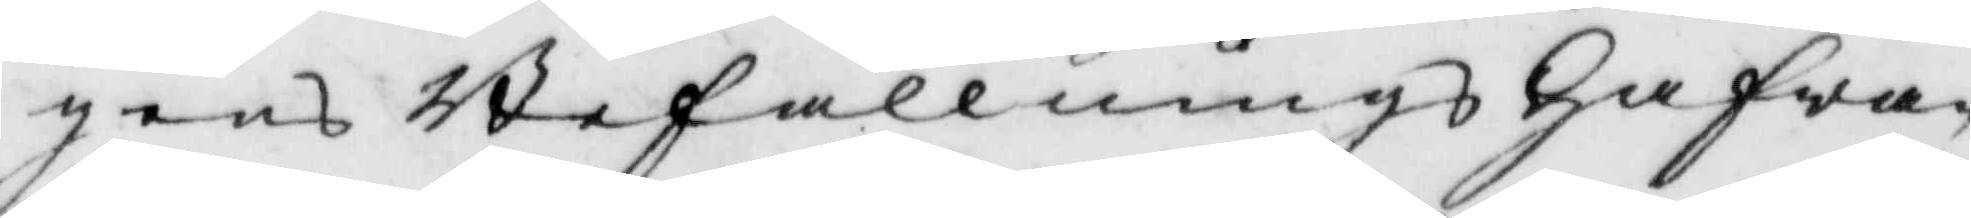gens Befallnings Hafwa¬
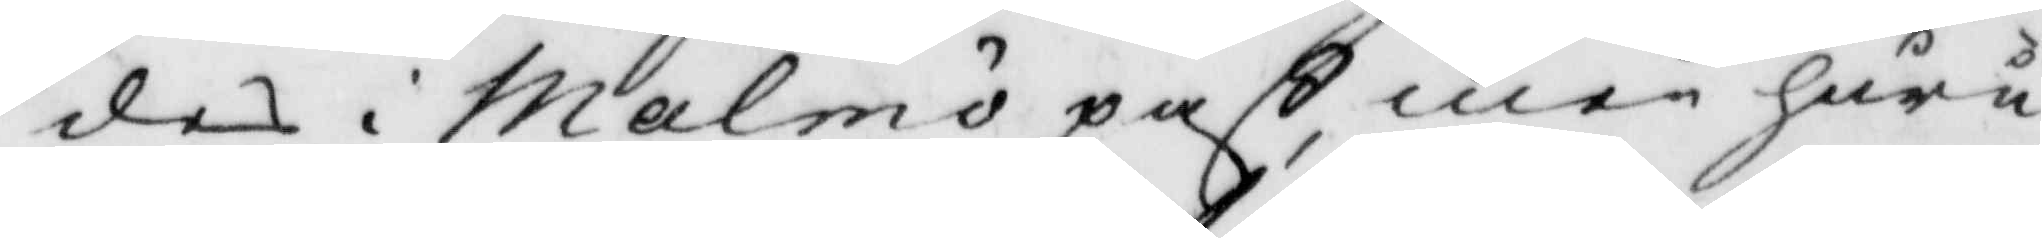des i Malmö paß, men huru
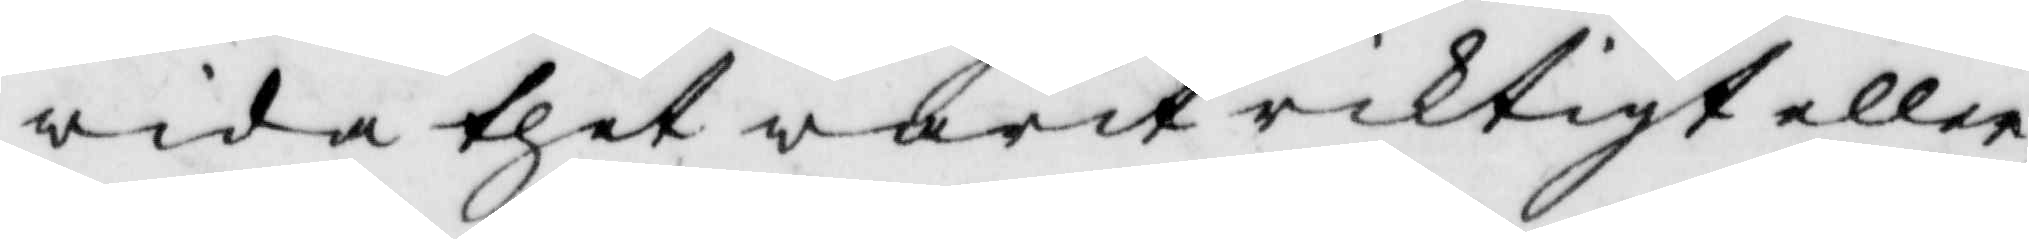wida thet warit riktigt eller
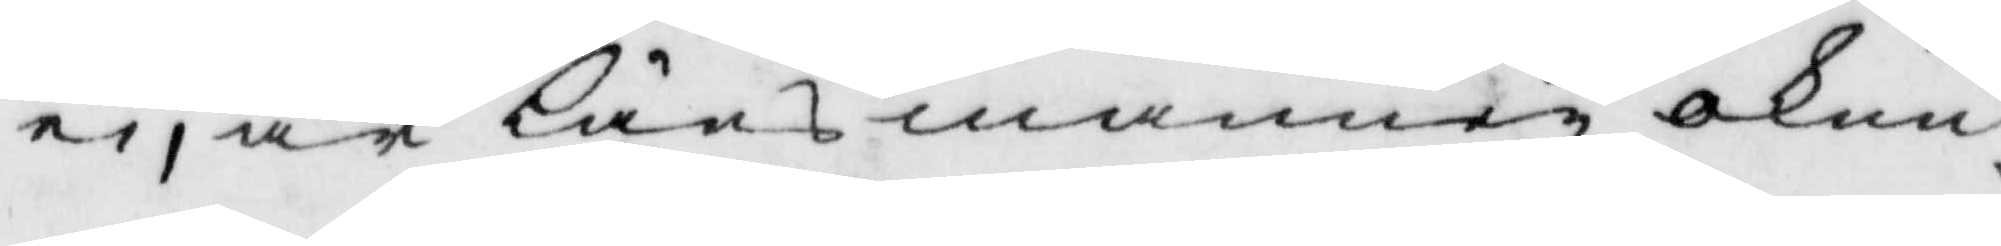ei, är Länsmannen okun¬
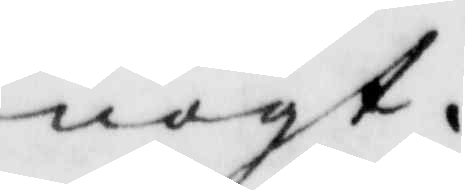nogt.
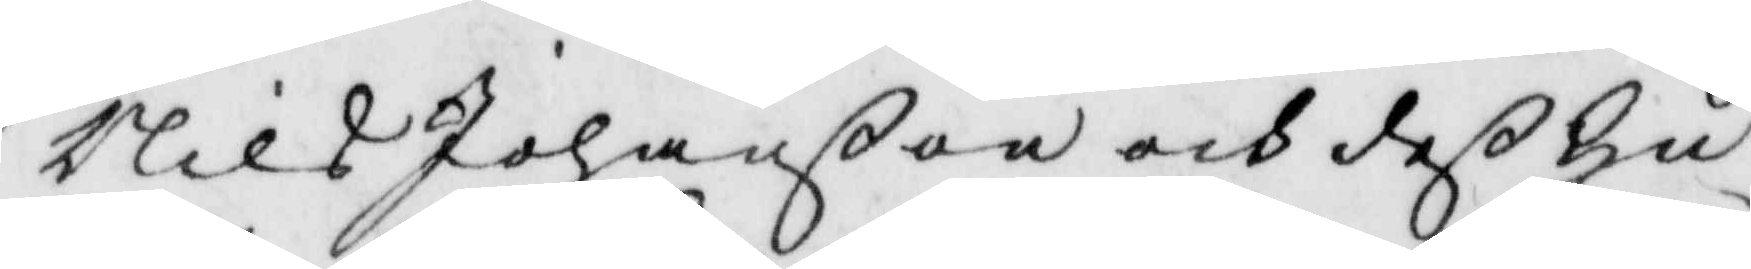Nils Johanßon och deß hu¬
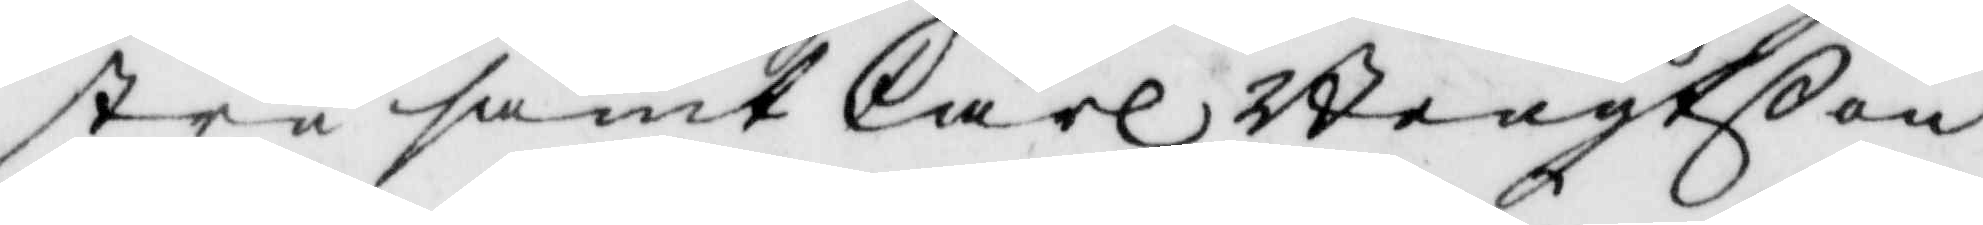stru samt Carl Bengtßon
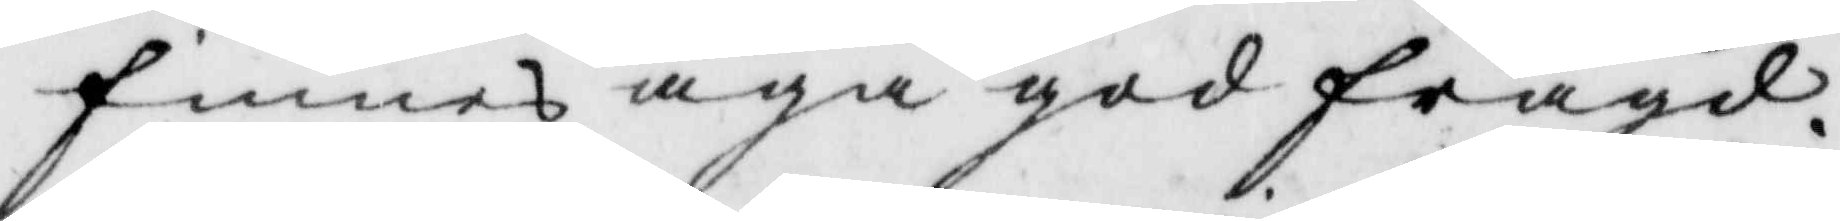finnes äga god frägd.
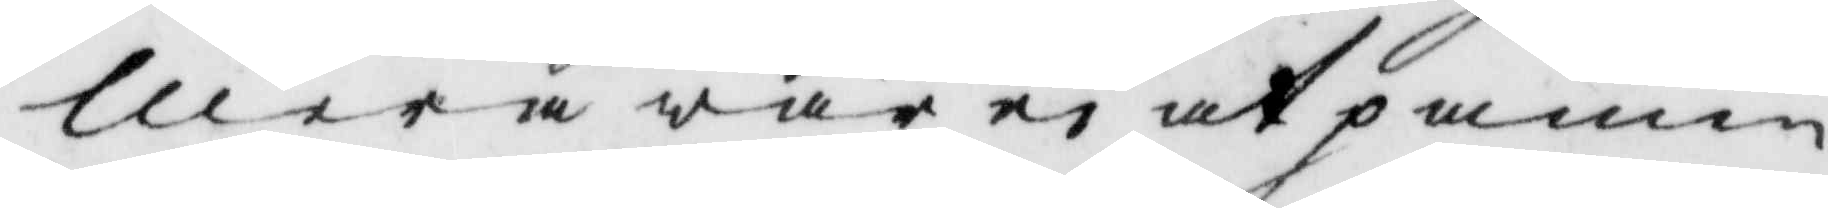Mera war ei at påmin¬
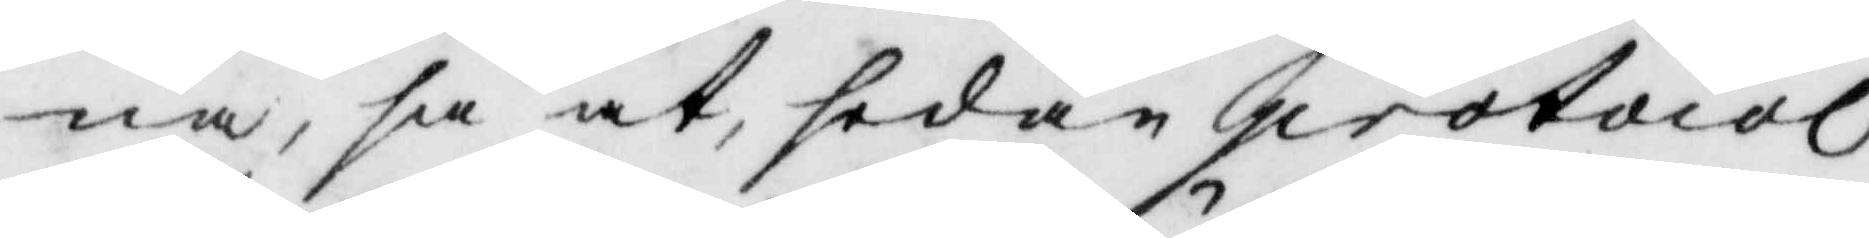na, så at, sedan protocol¬
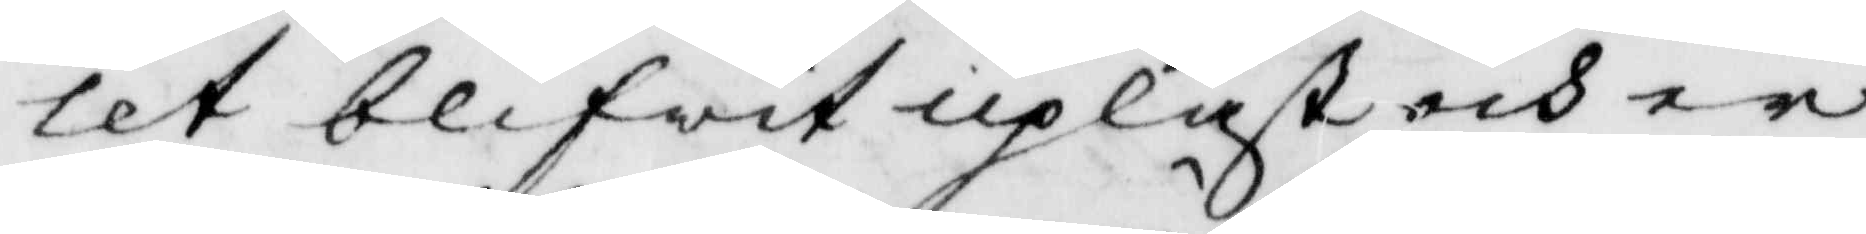let blifwit upläst och er¬
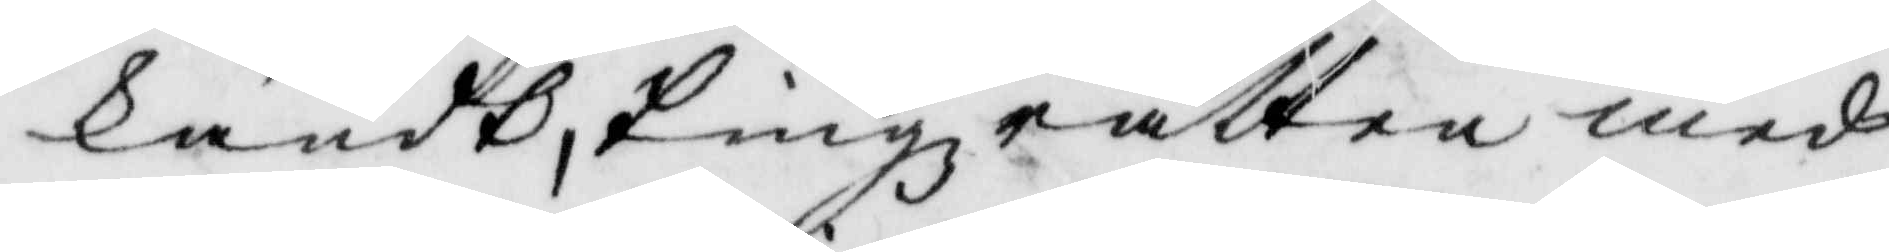känsdt, Tingz rätten med¬
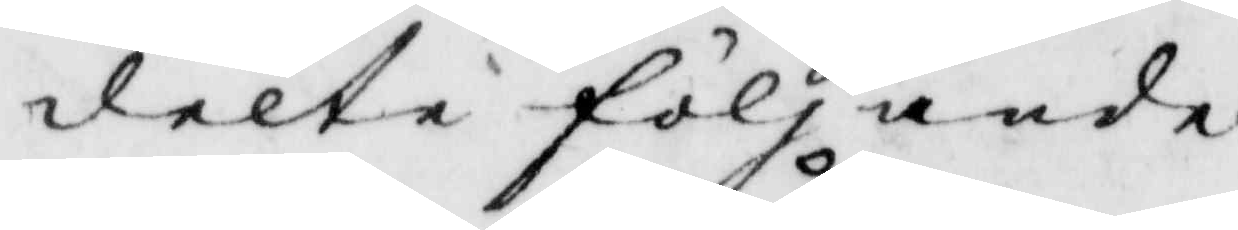delte följande
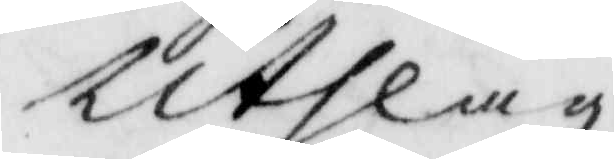Utslag
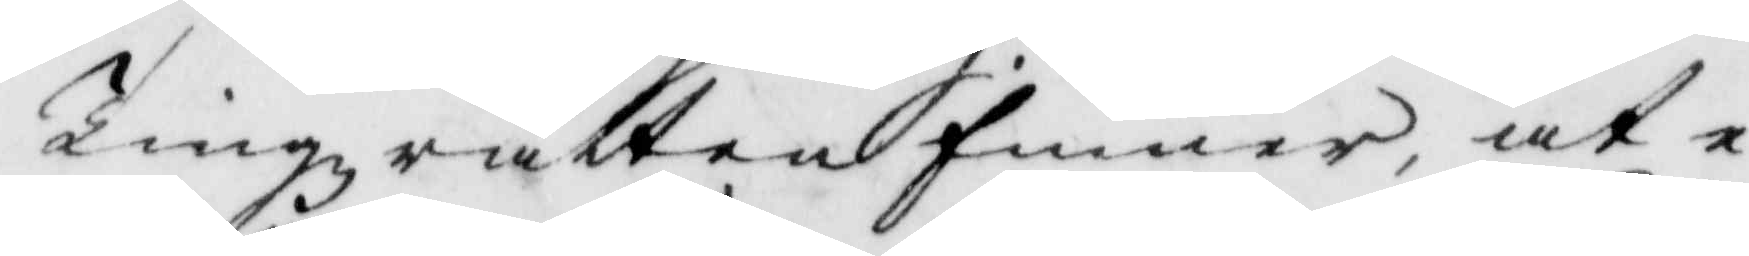Tingzrätten finner at e¬
